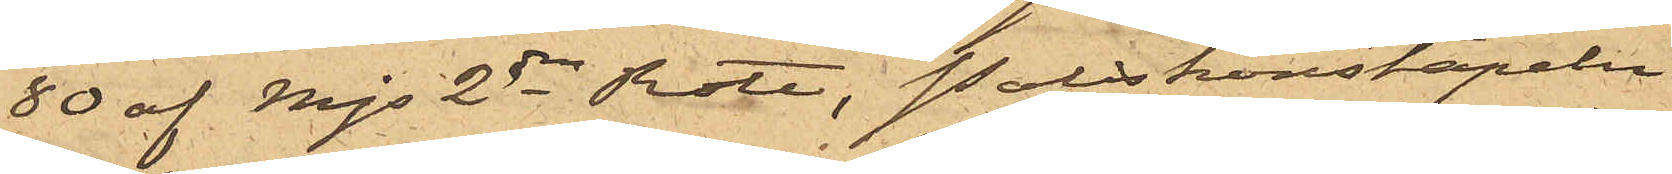80 af Mjs 2dra Rote, Poliskonstapeln
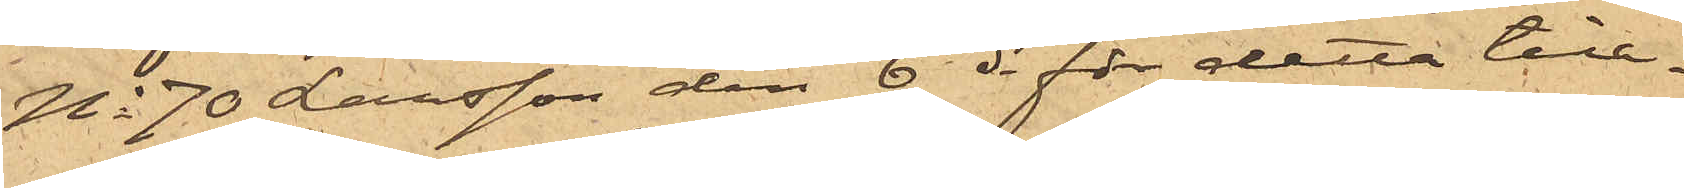No 70 Larsson den 6 ds för detta till¬
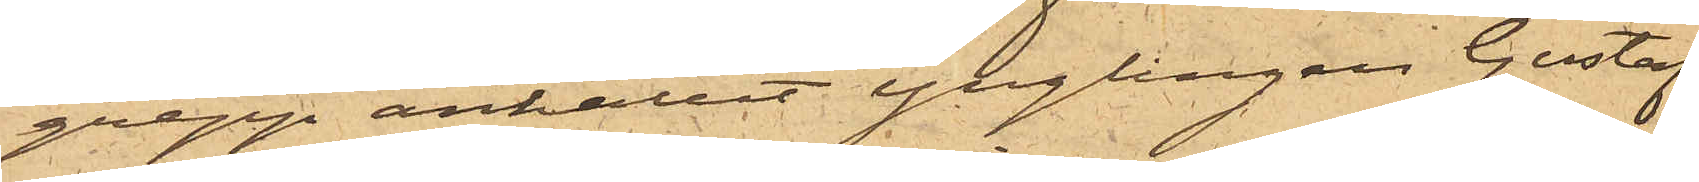grepp anhållit ynglingen Gustaf
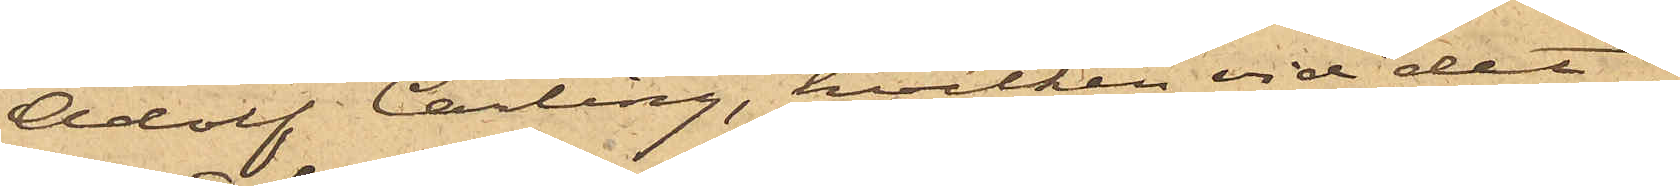Adolf Carling, hvilken vid det
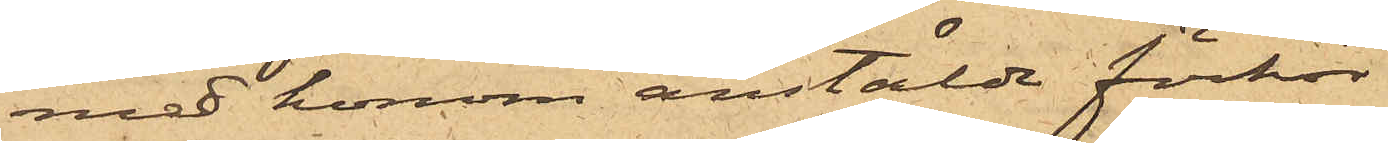med honom anstäldt förhör
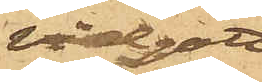vidgått,
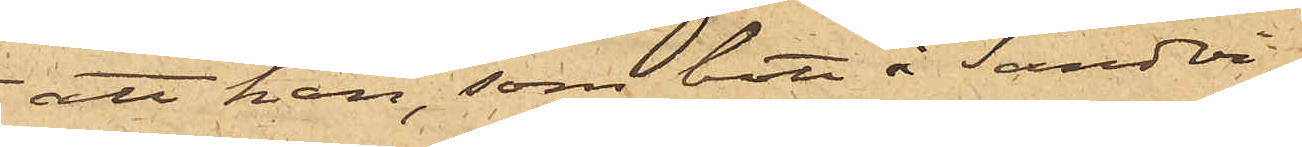att han, som bott i Sandvi¬
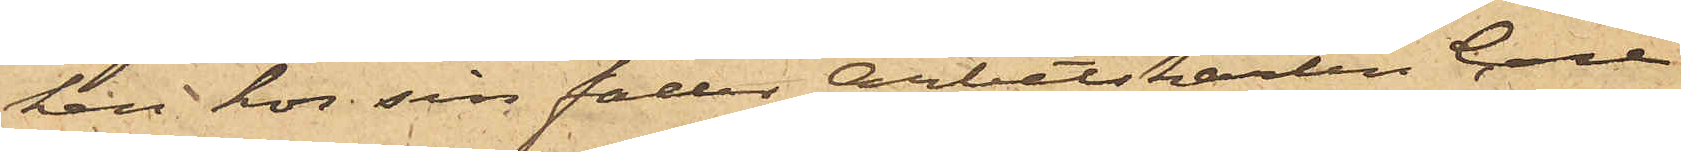ken hos sin fader Arbetskarlen Carl
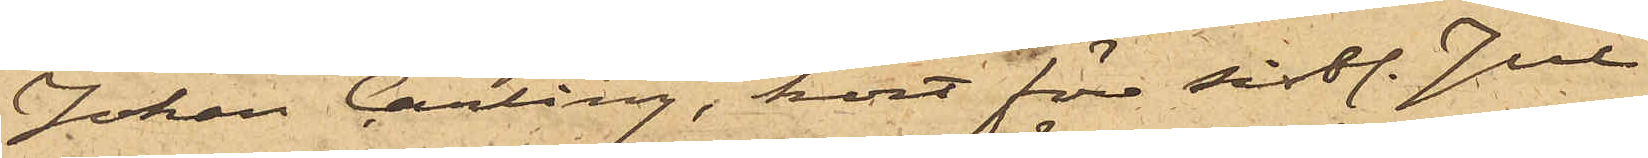Johan Carling, kort före sistl. Jul
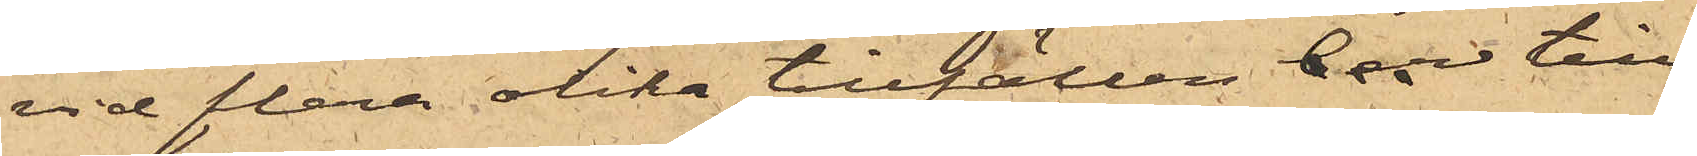vid flera olika tillfällen till¬
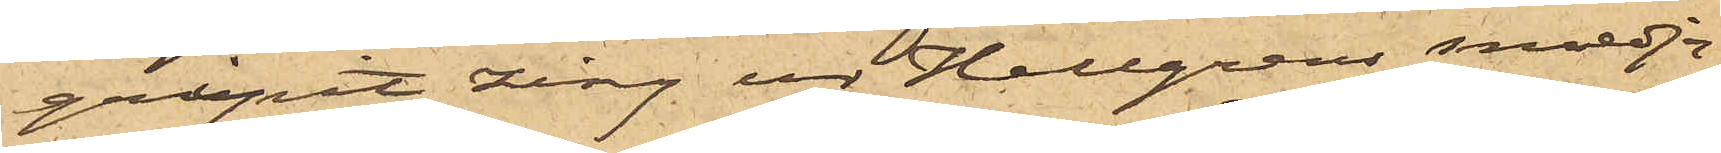gripit zink ur Hellgrens smedja,
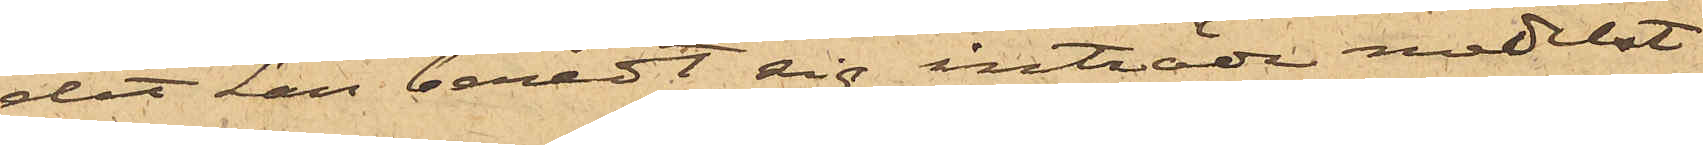dit han beredt sig inträde medelst
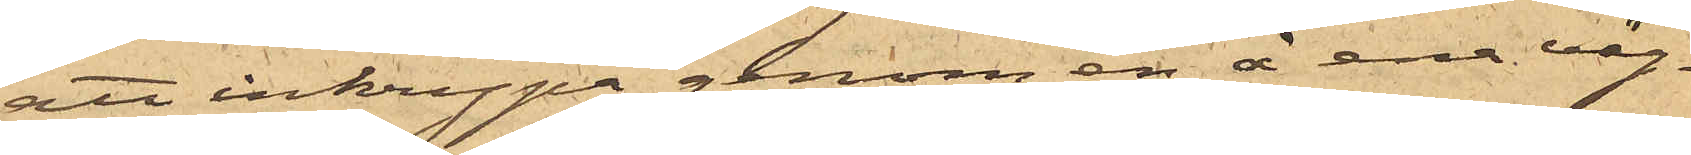att inkrypa genom en å ena väg¬
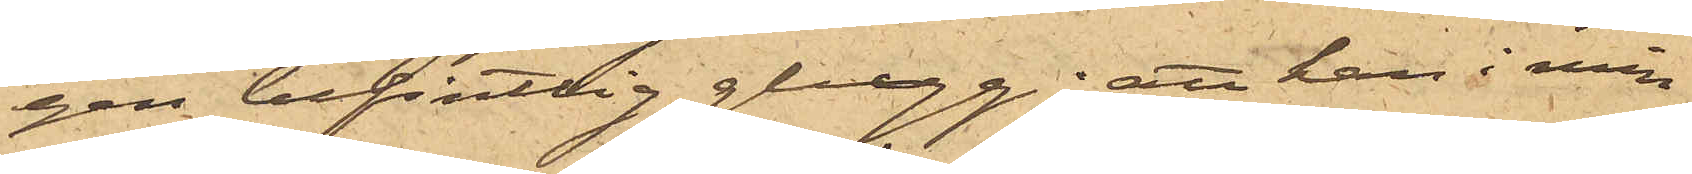gen befintlig glugg; att han i min¬
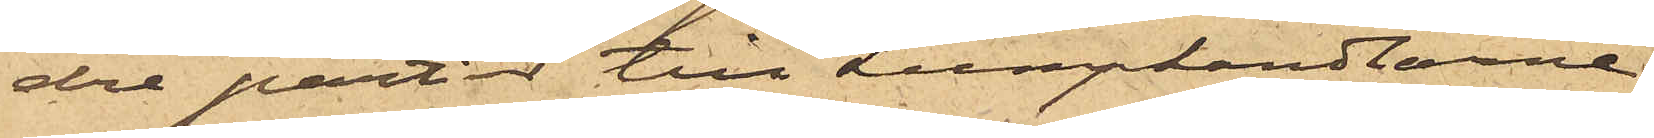dre partier till Lumphandlarne
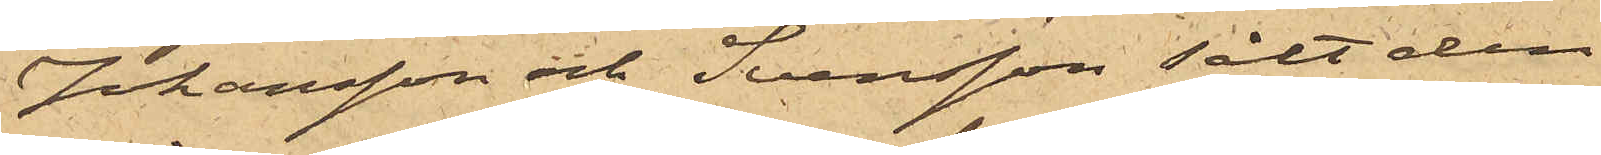Johansson och Svensson sålt den
